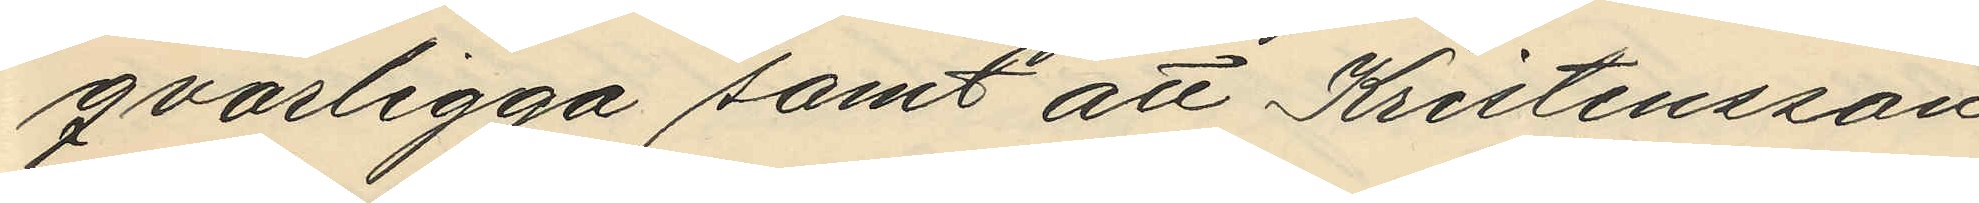qvarligga samt att Kristensson
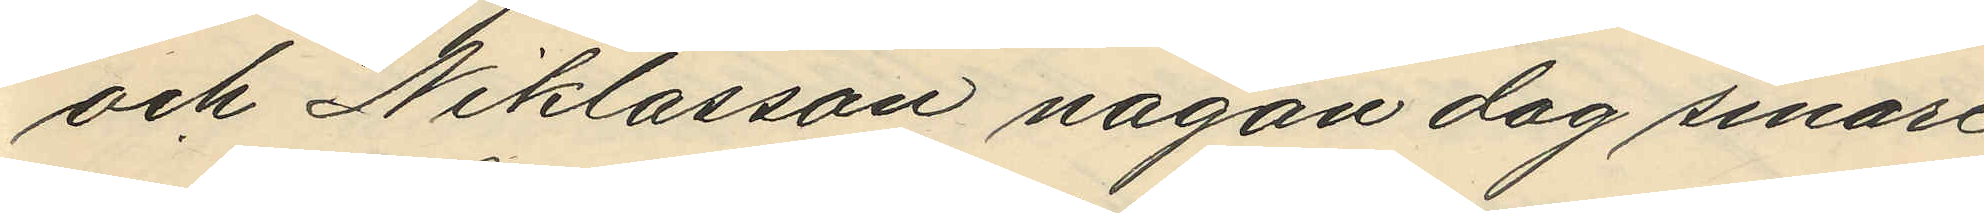och Niklasson någon dag senare
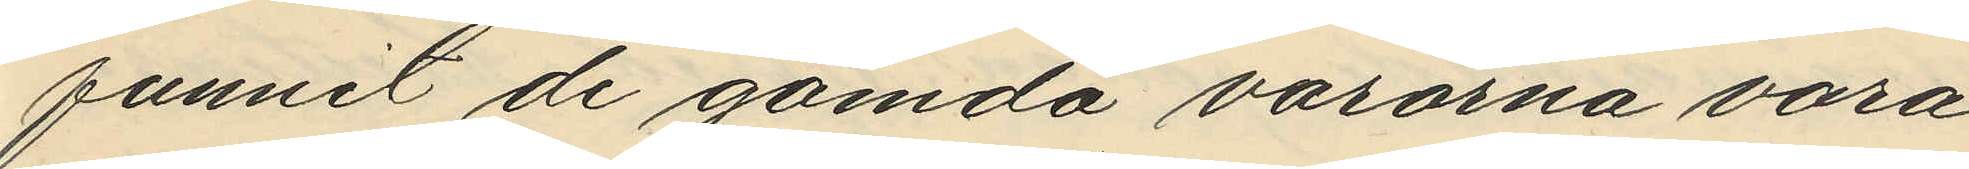funnit de gömda varorna vara
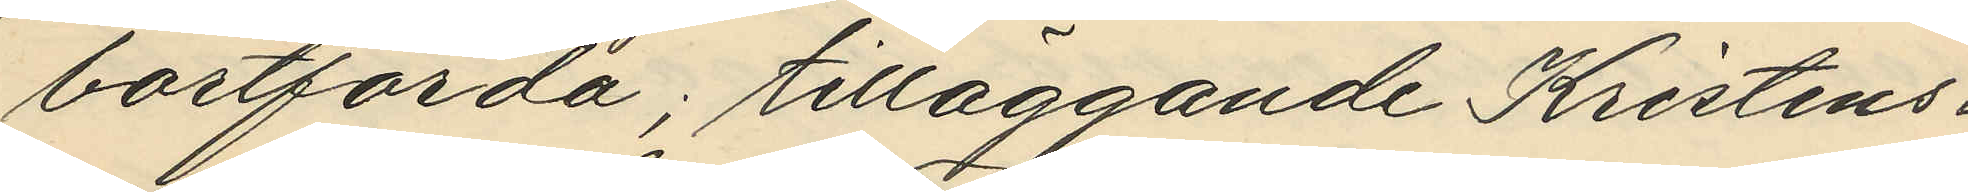bortförda; tilläggande Kristens¬
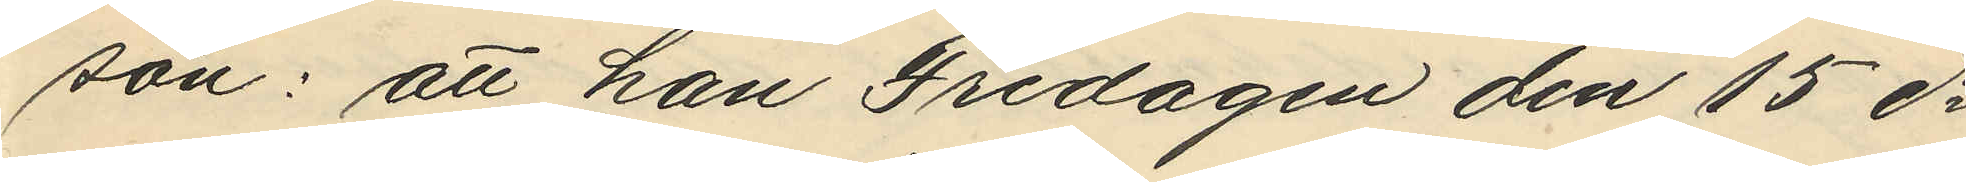son: att han Fredagen den 15 ds
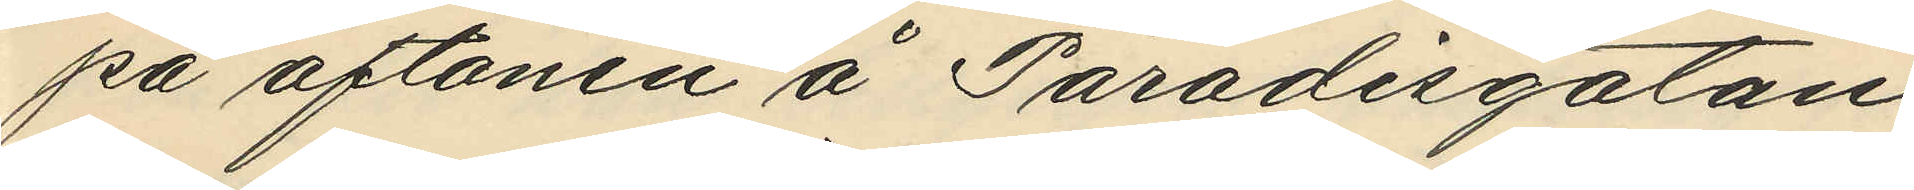på aftonen å Paradisgatan
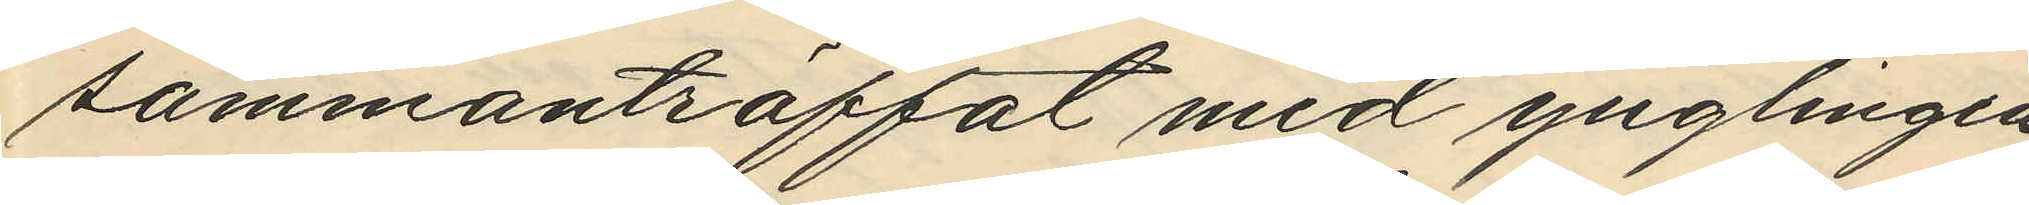sammanträffat med ynglingen
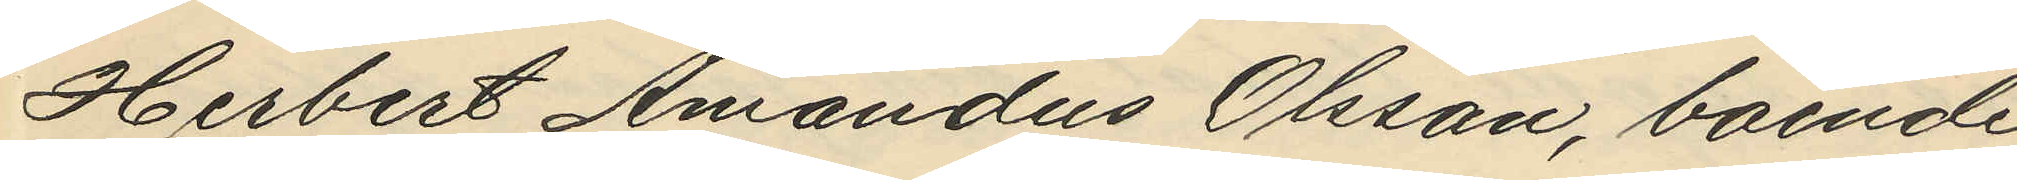Herbert Amandus Olsson, boende
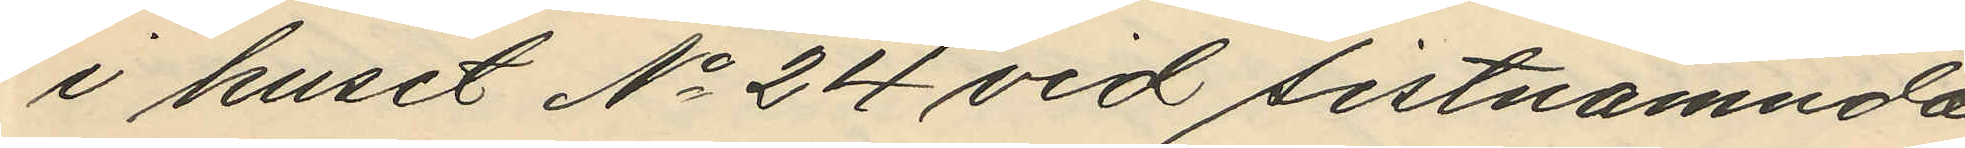i huset No 24 vid sistnämnda
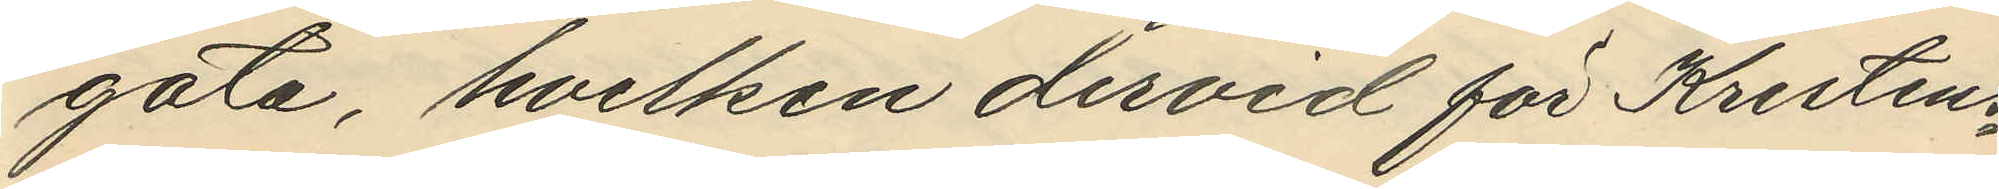gata, hvilken dervid för Kristens¬
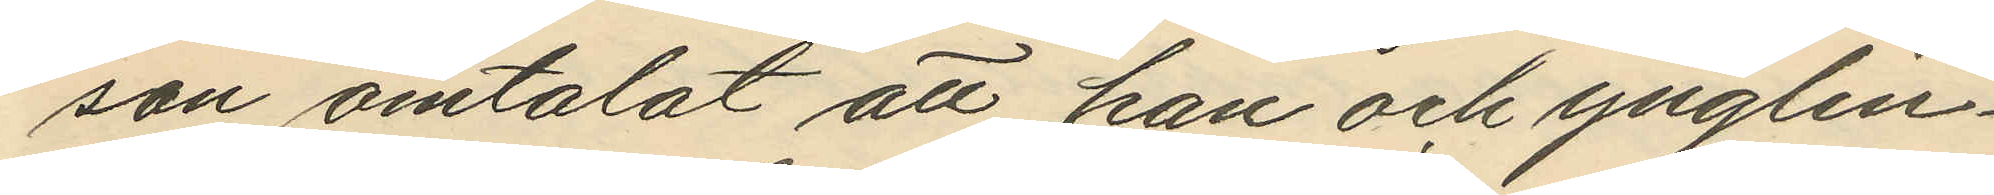son omtalat att han och ynglin¬
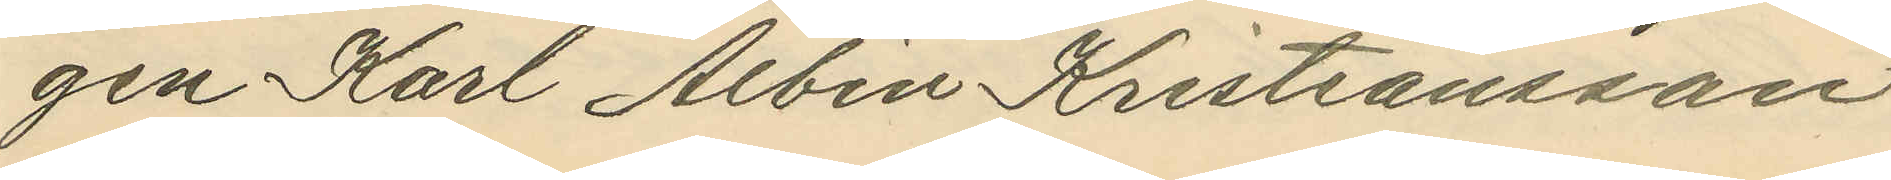gen Karl Albin Kristiansson
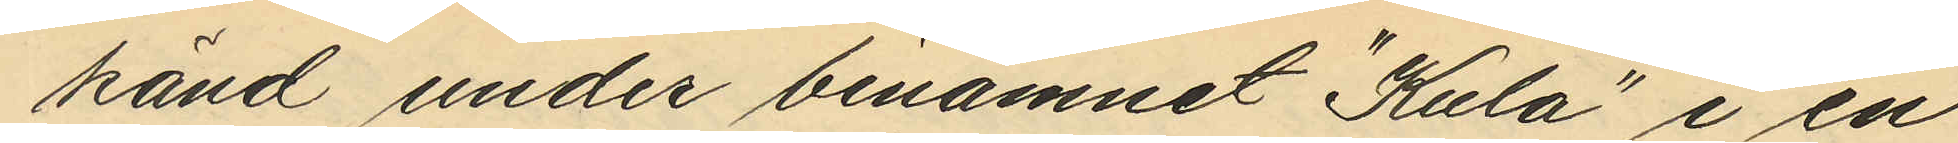känd under binamnet "Kula" i en
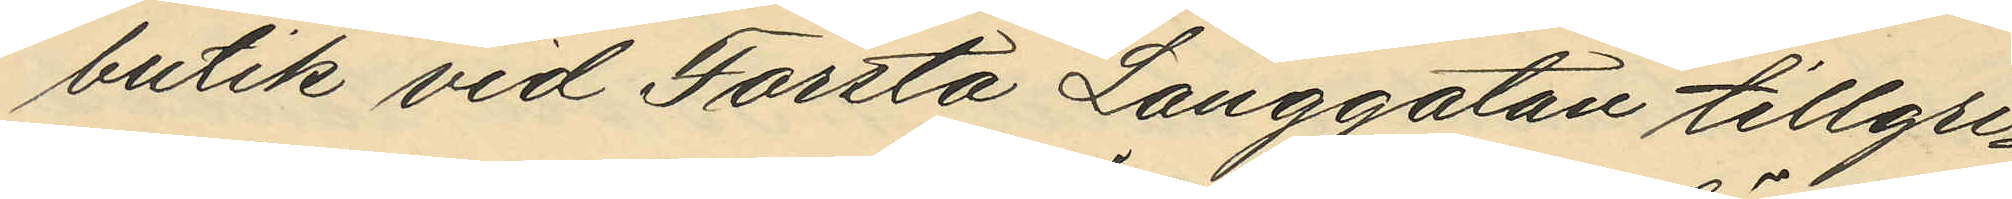butik vid Första Långgatan tillgri¬
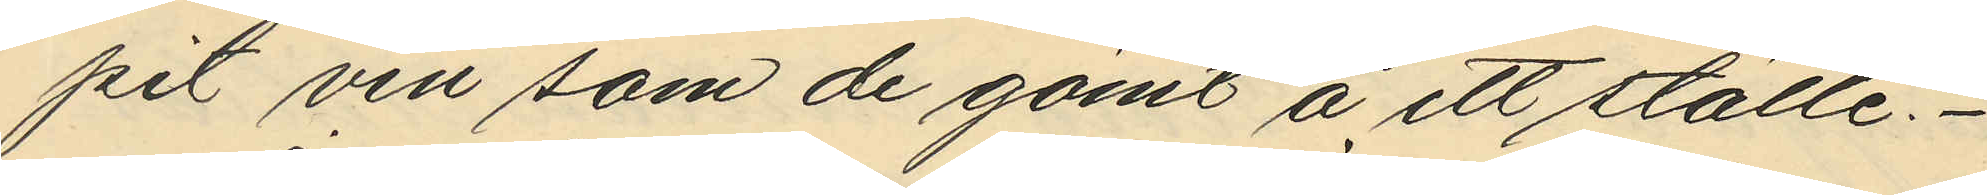pit vin som de gömt å ett ställe.
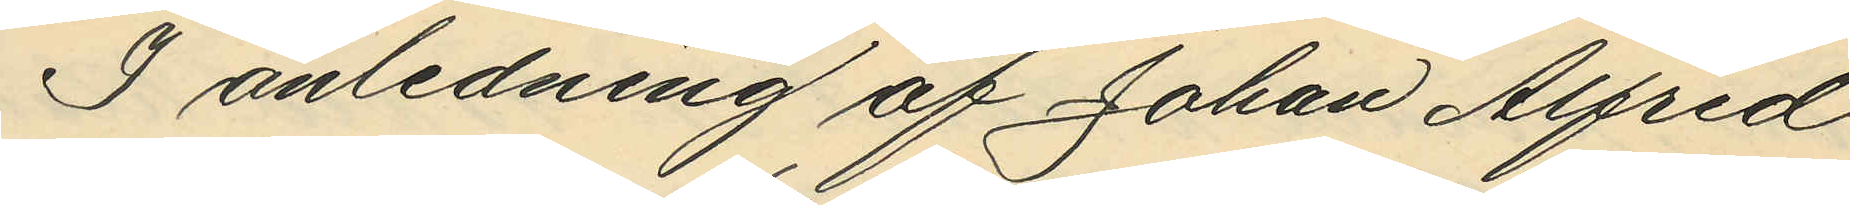I anledning af Johan Alfred
